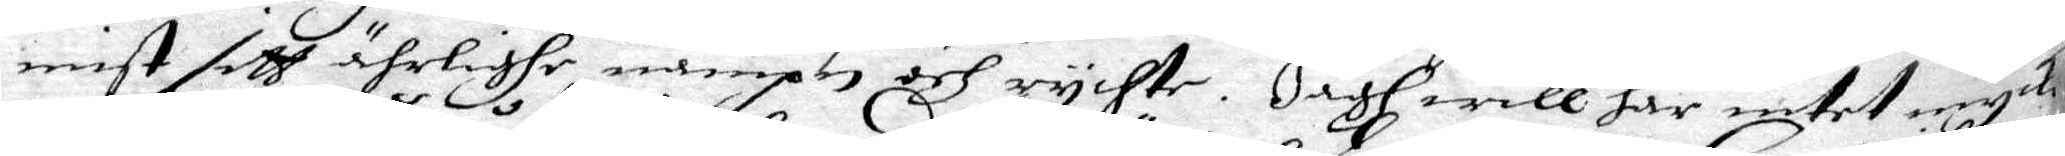mist sith ährlighe nampn och rychte. Jagh will här intet mycket
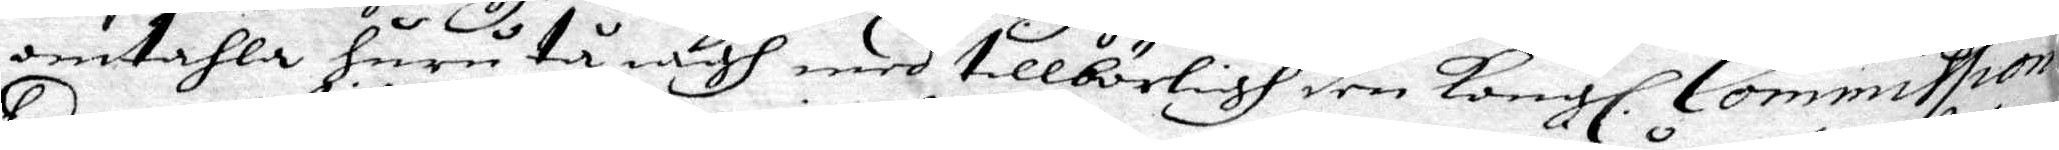omtahla huru tå iagh med tillbörligh den Kongl. Commission
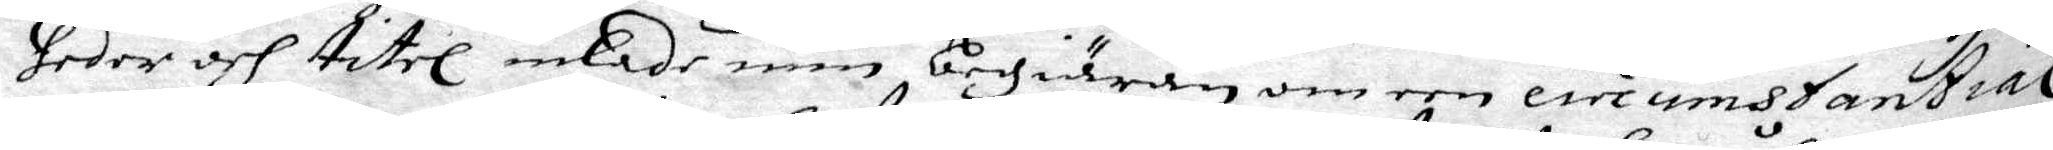heder och titel inlade min begiäran om een circumstantial
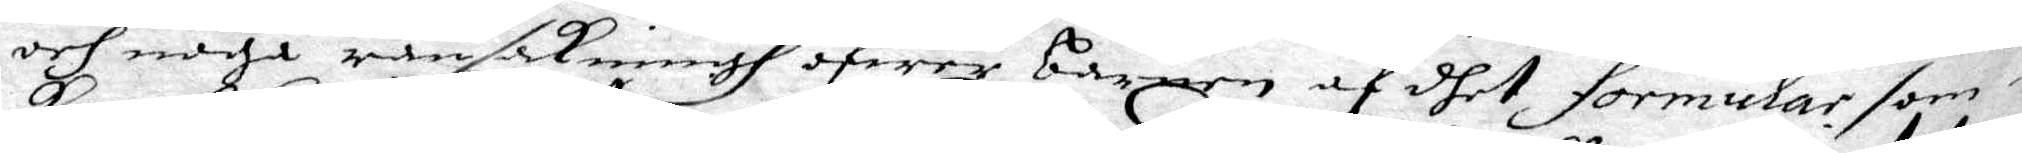och noga ransakningh ofwer barnen af dhet förmular som i
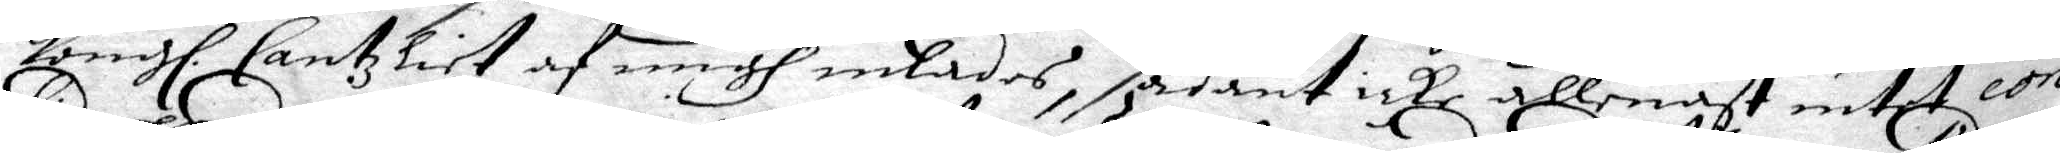Kongl. Cantzliet af migh inlades, sådant icke allenast intet con¬
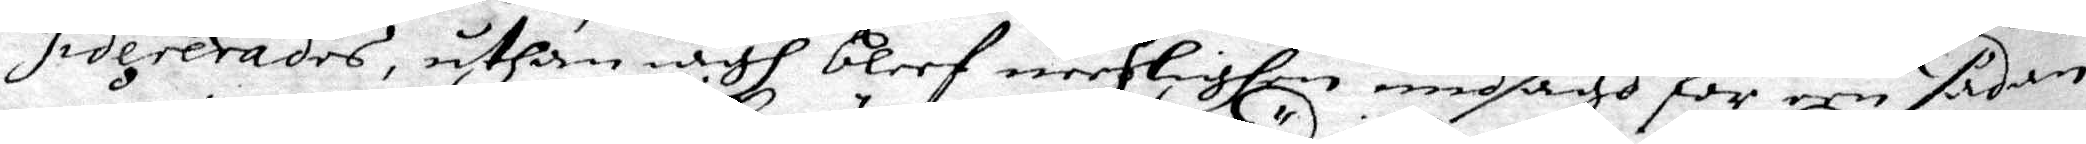sidererades, uthan iagh bleef neeslighen imdsagd för en sådan
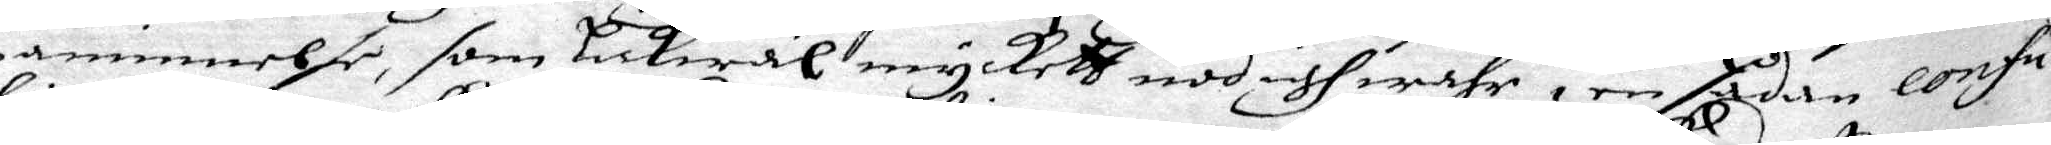påminnelse, som lickwäl myckett nödigh wahr i en Sedan confu¬
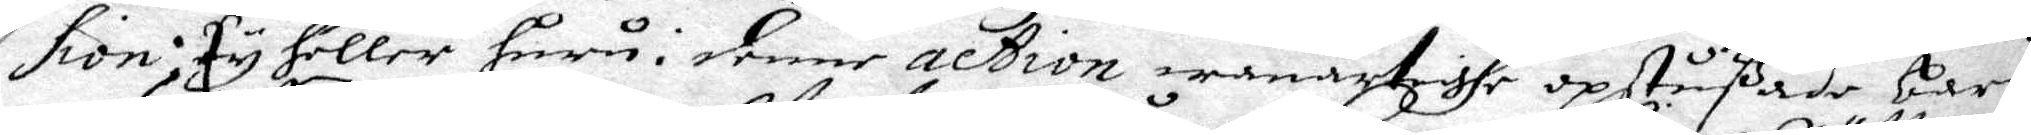sion, ty heller huru i denne action wanartighe opstußade barn
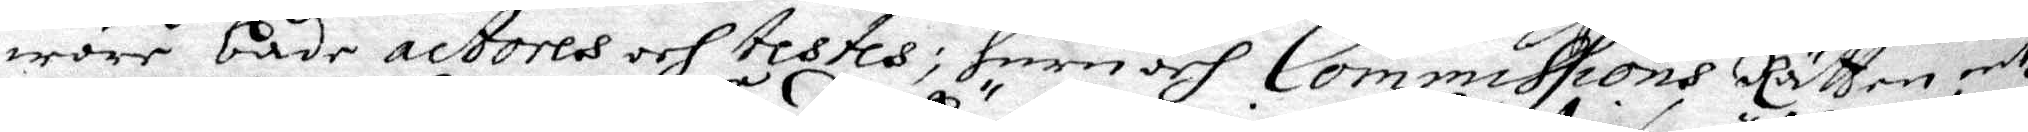wore både actores och testes, huru och Commissions Rätten intz
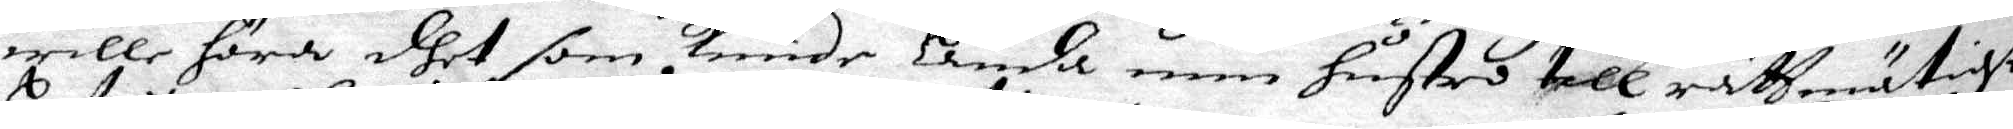wille höra dhet som Kunde Lända min hustro till rättmätigt
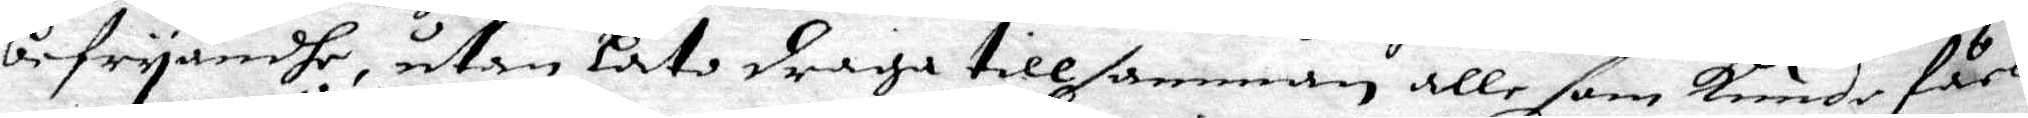befryandhe, utan låto draga tillsamman alle som Kunde fårs
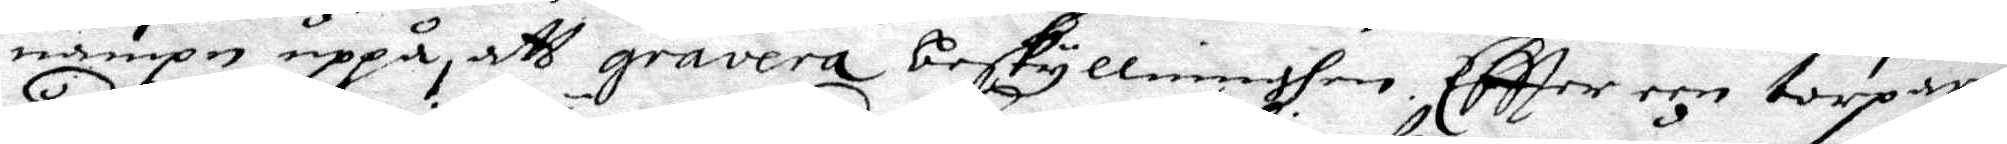nampn uppå, att gravera beskyllninghen. Eftter een torpare
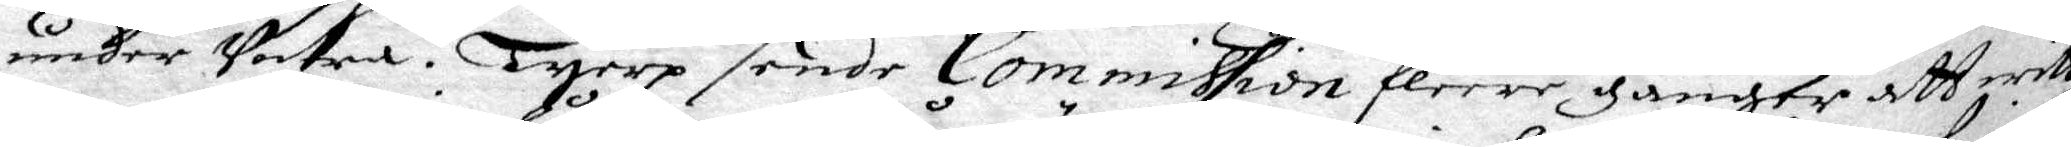under Sotra i Tyerp sende Commission fleere gånger att witt¬
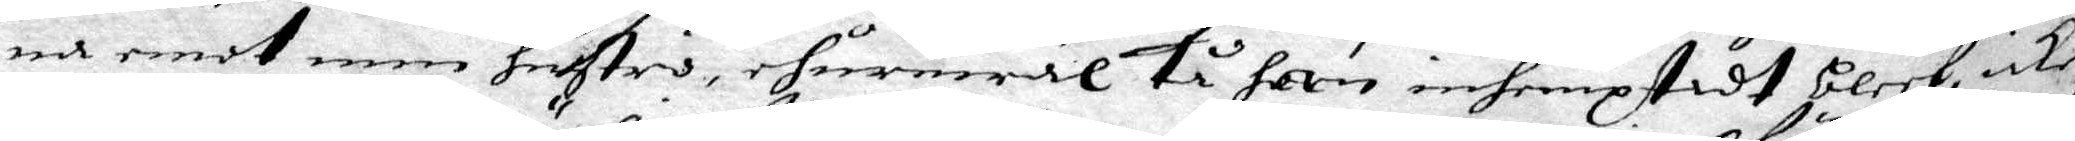na emot men hustru, ehuruwäl tå han inhemptadt bleef, icke
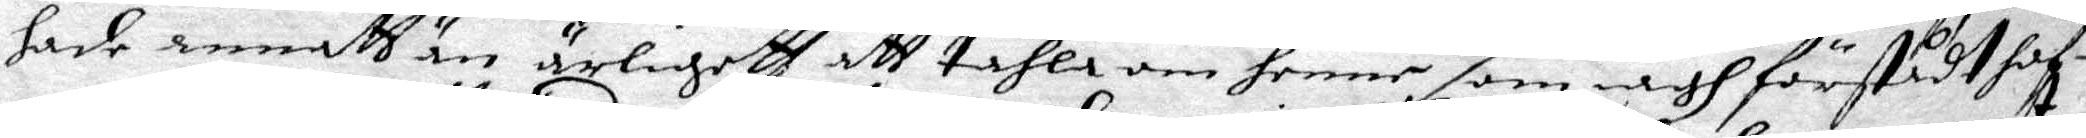hade annatt än ärligett att tahla om henne som iagh förstådt haf¬
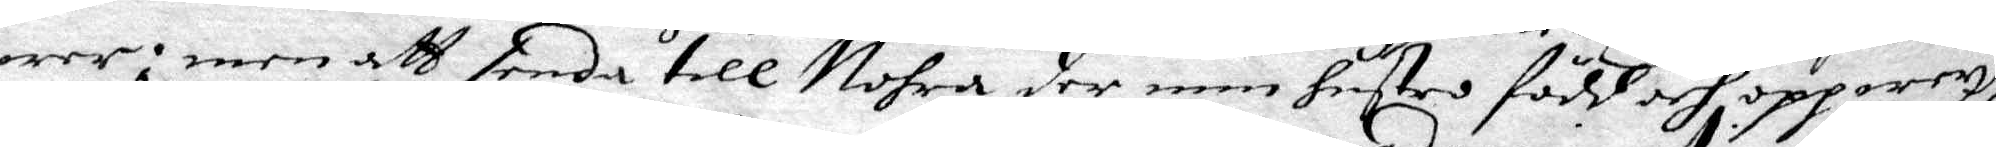wer; men att senda till Nohra der min hustro född och oppwext
